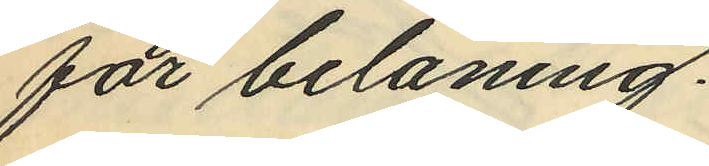för belåning.
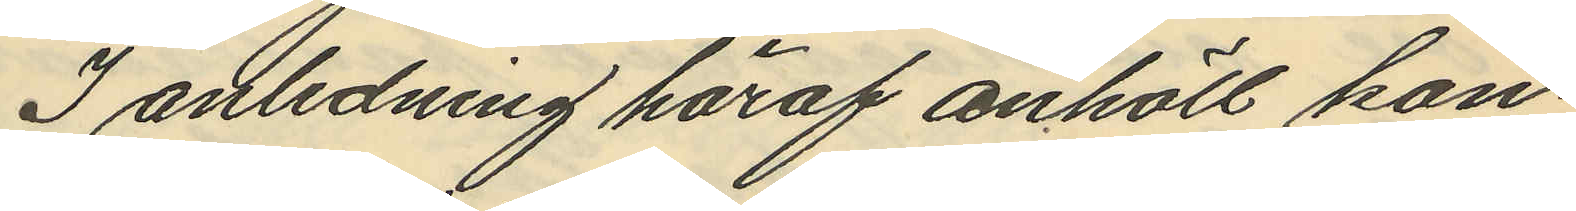I anledning häraf anhöll kon¬
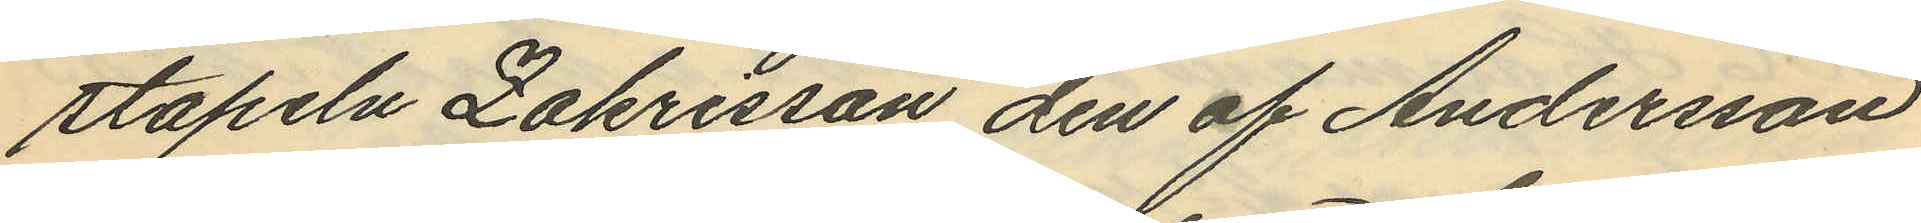stapeln Zakrisson den af Andersson
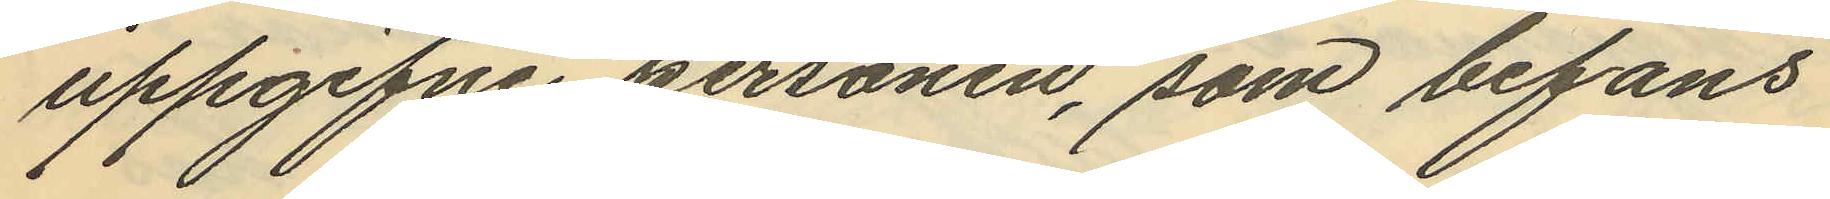uppgifne personen, som befans
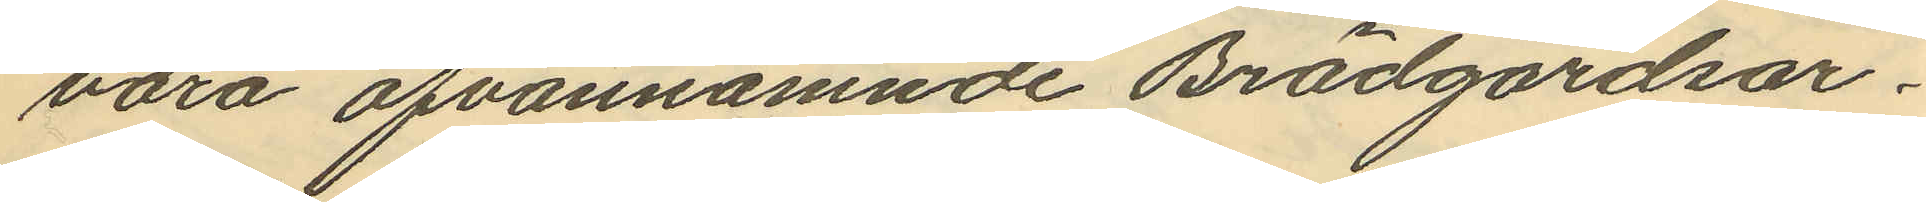vara ofvannämnde Brädgårdsar¬
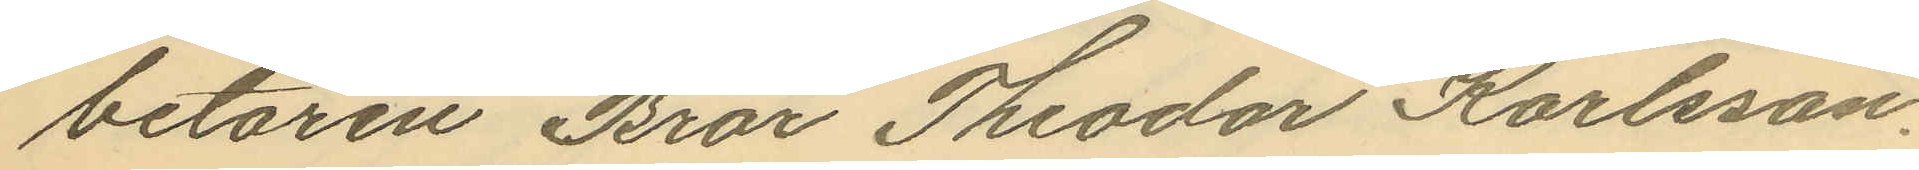betaren Bror Theodor Karlsson,
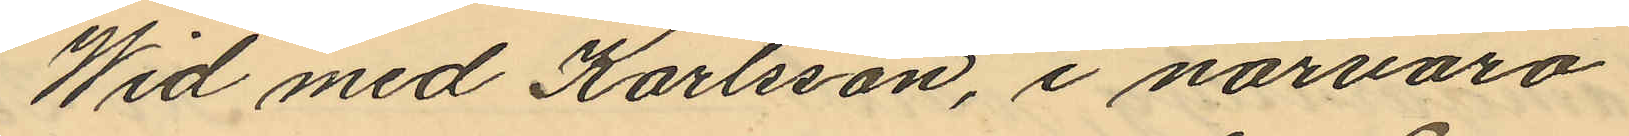Wid med Karlsson, i närvaro
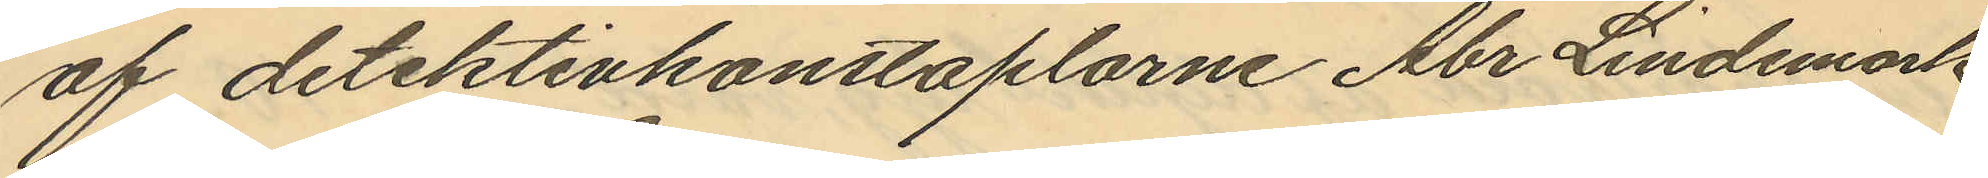af detektivkonstaplarne Abr Lindemark
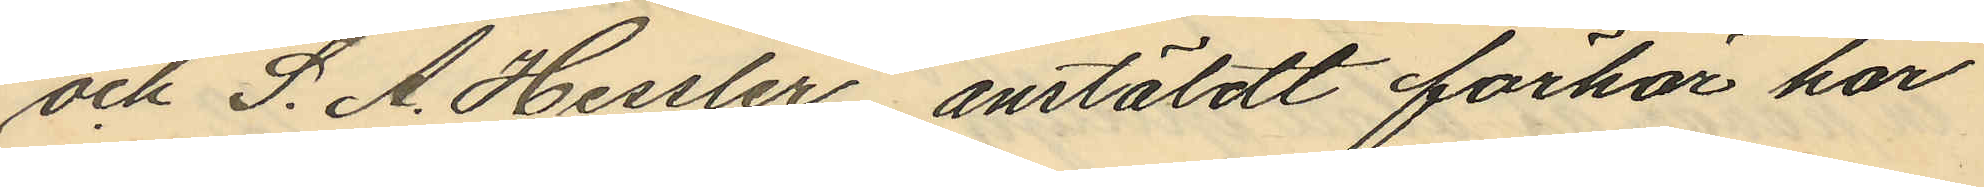och S. A. Hessler, anstäldt förhör har
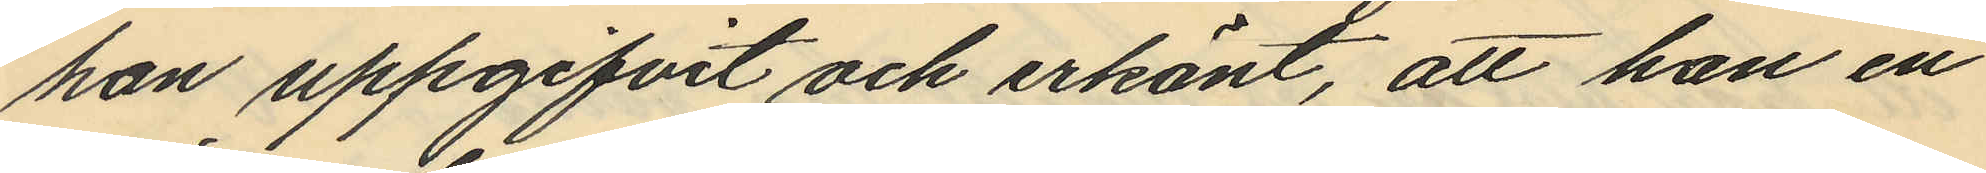han uppgifvit och erkänt, att han en
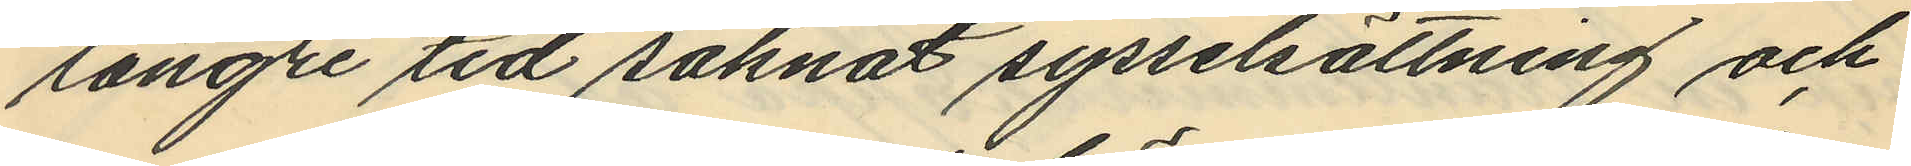längre tid saknat sysselsättning och
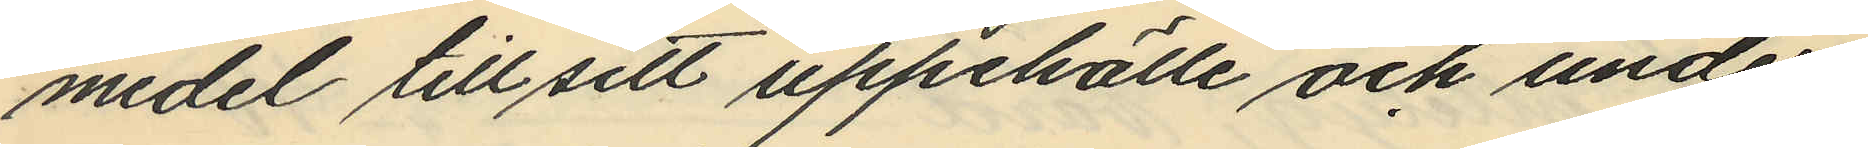medel till sitt uppehälle och under
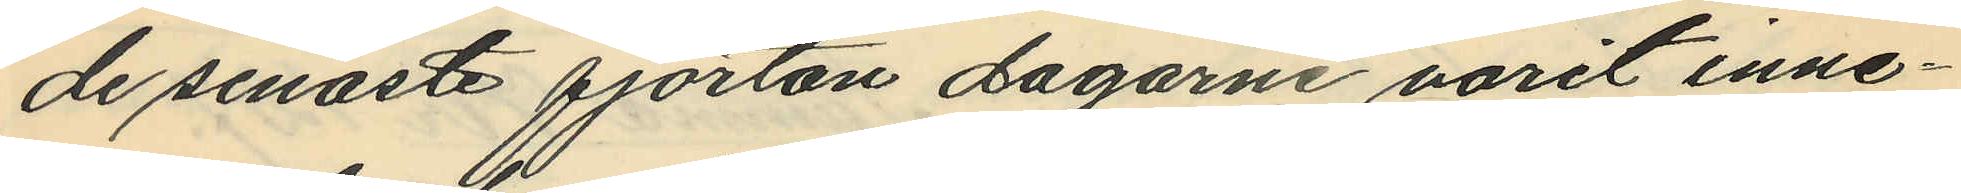de senaste fjorton dagarne varit inne¬
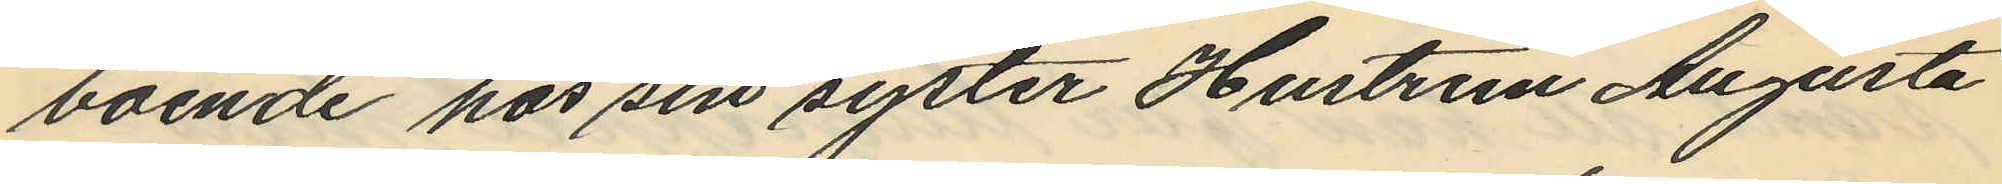boende har sin syster Hustrun Augusta
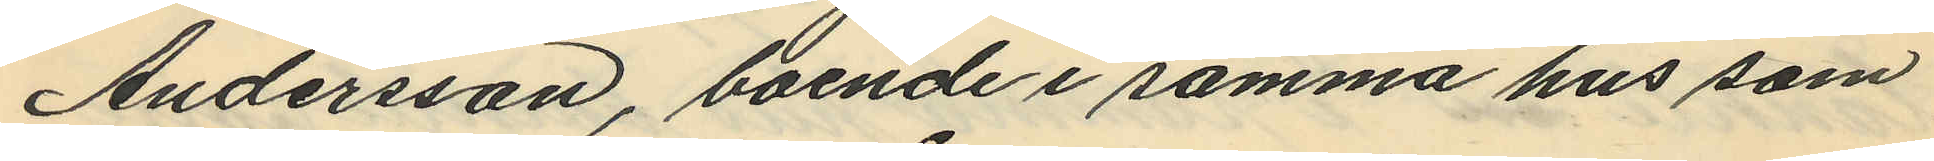Andersson, boende i samma hus som
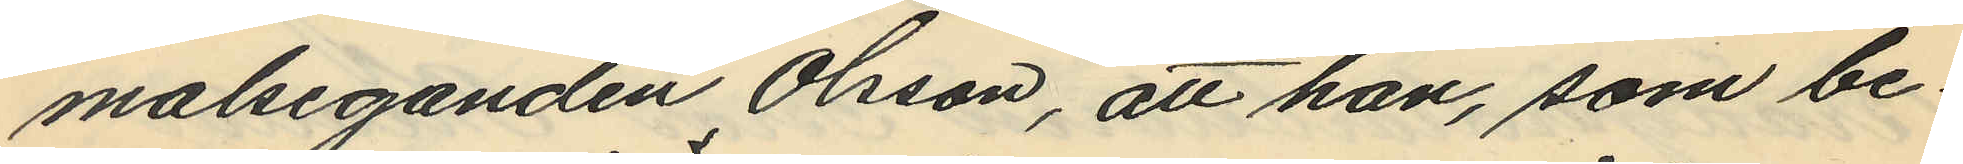malseganden Olsson, att han, som be¬
